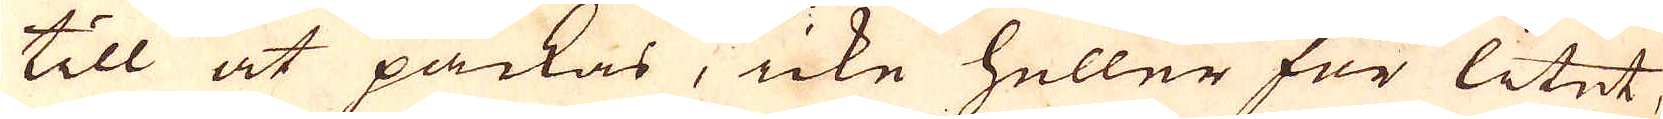till at packas, icke heller för litet,
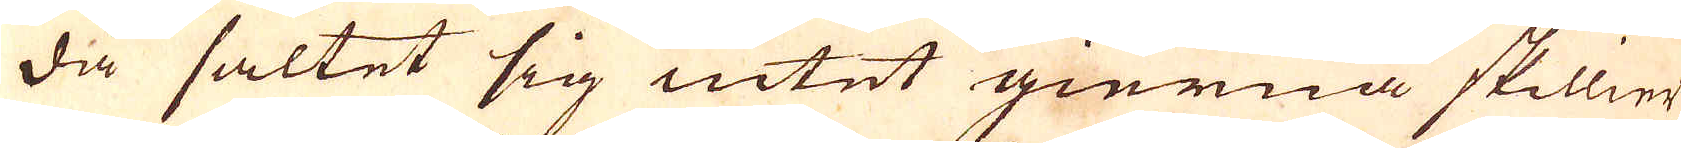då saltet sig intet gierna skillier
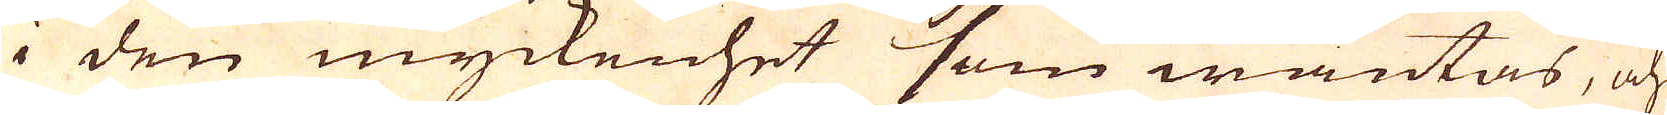i den myckenhet som wäntas, och
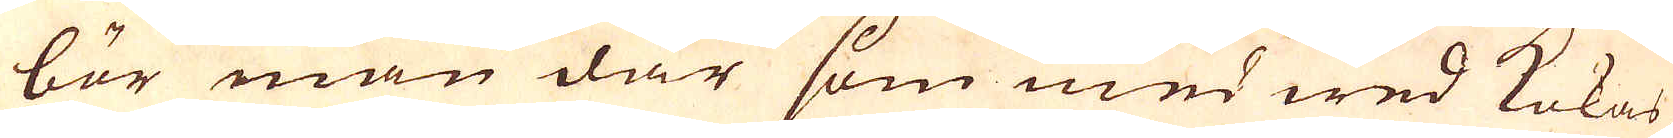bör man där som med wed kokas,
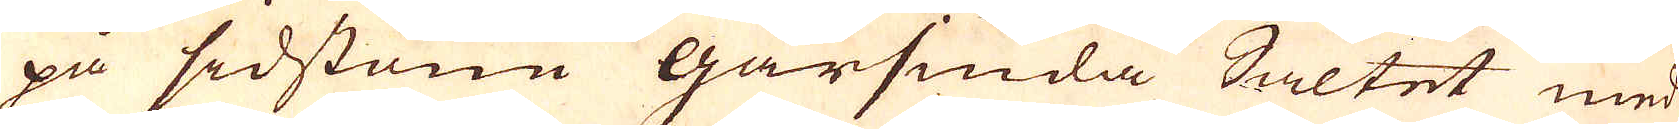på sidstone gårsiuda Saltet med
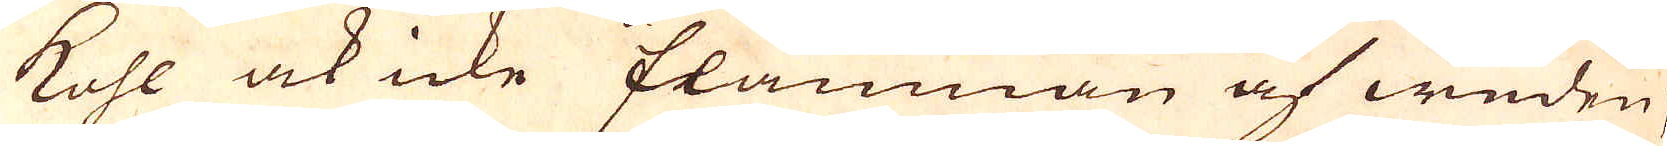kohl ock icke flamman af weden;
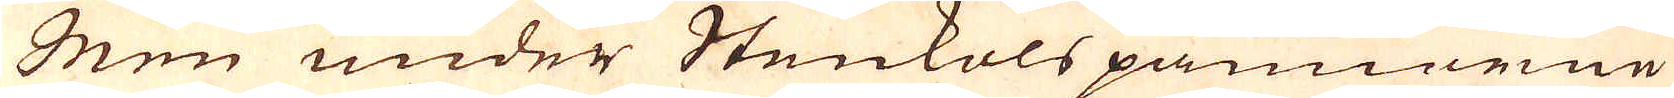Men under Stenkols pannorne
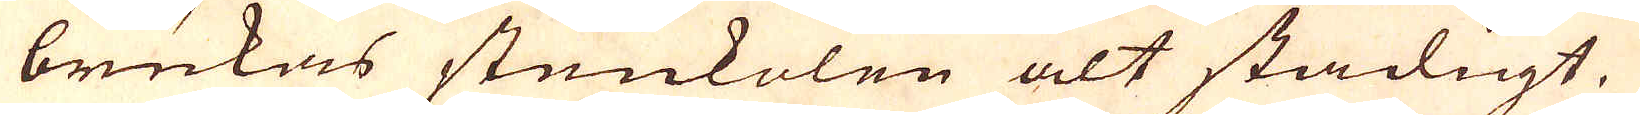brukas stenkolen alt stadigt.
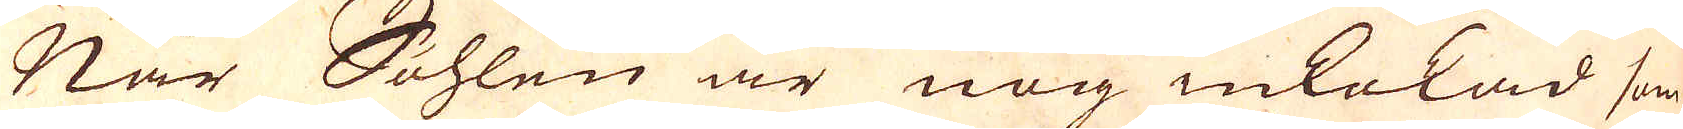När Sohlen är nog inkokad som
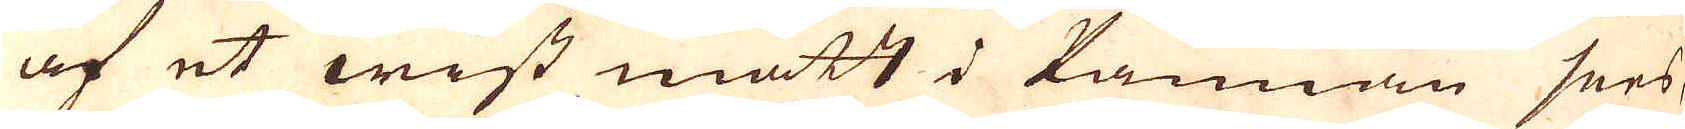af et wist mått i kannan sees,
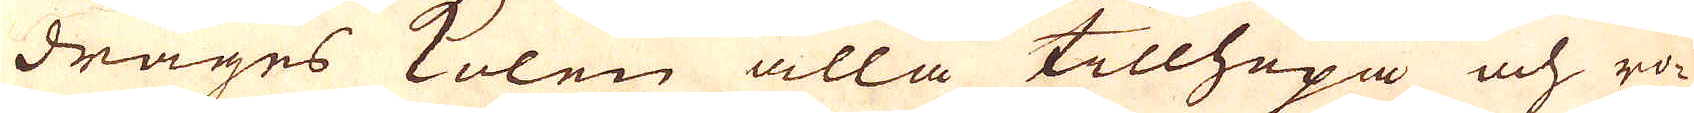drages kolen alla tillhopa och rö-
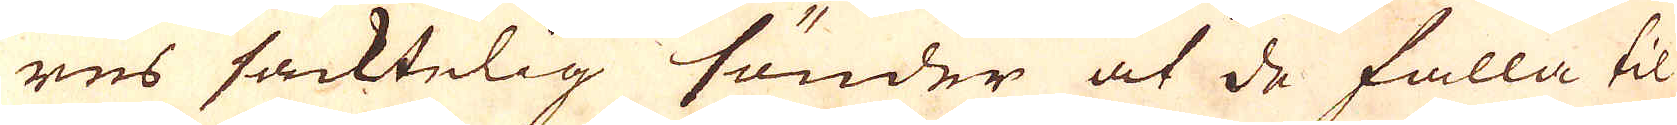res sacktelig sönder at de falla til
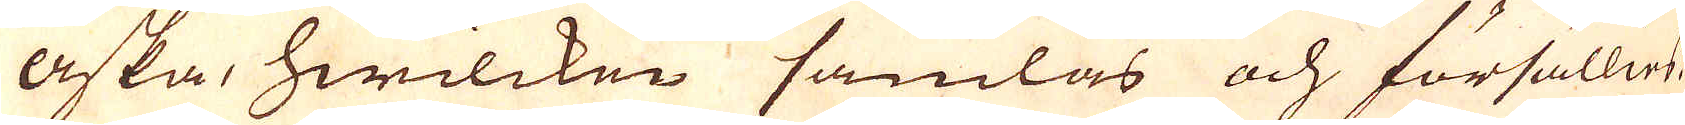aska, hwilcken samlas och försällies.
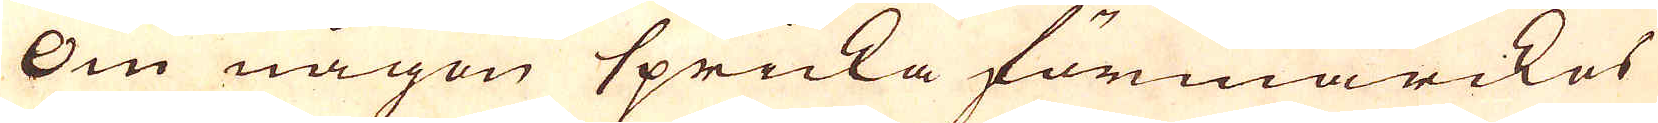Om någon spricka förmärckes
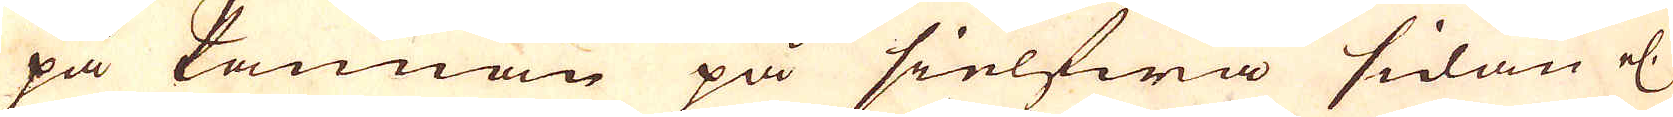på kannan på sielfwa sidan el:
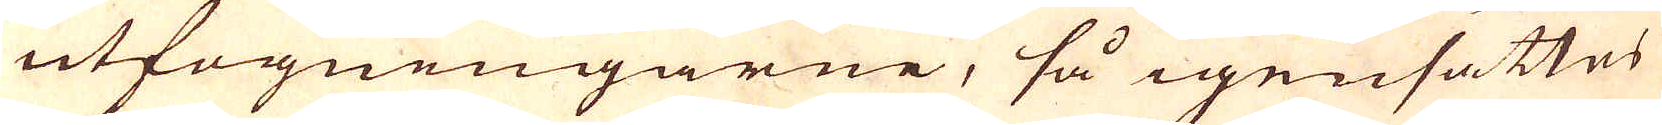utfogningarne, så igensättes
